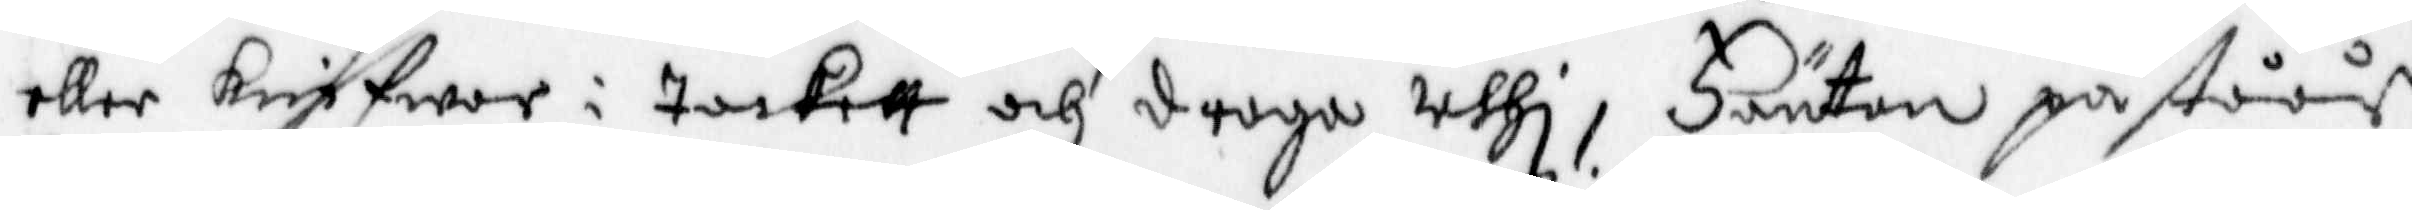eller knifwar i tackett och draga uthi, Fäntan påståår
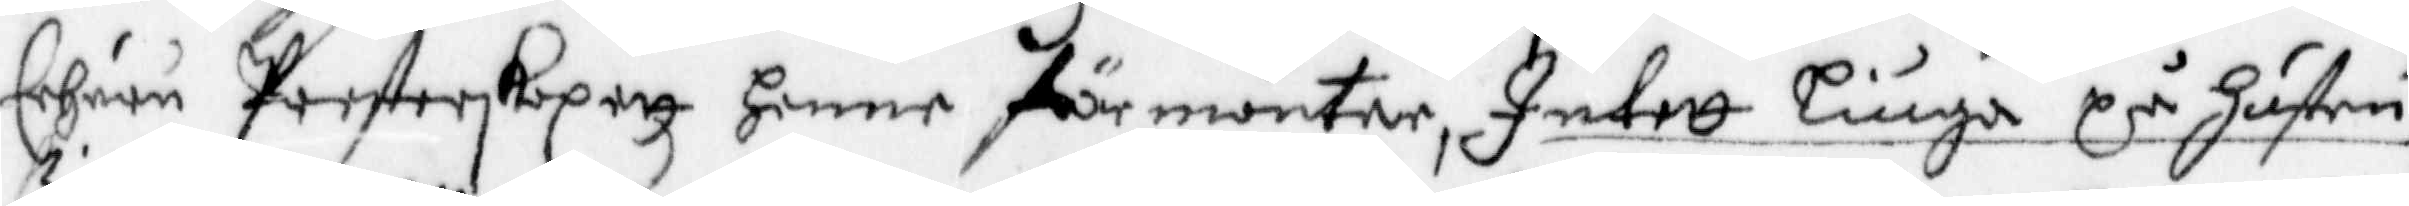Ehuru Presterskapett Henne förmanter, Intett Liuga på Hustru
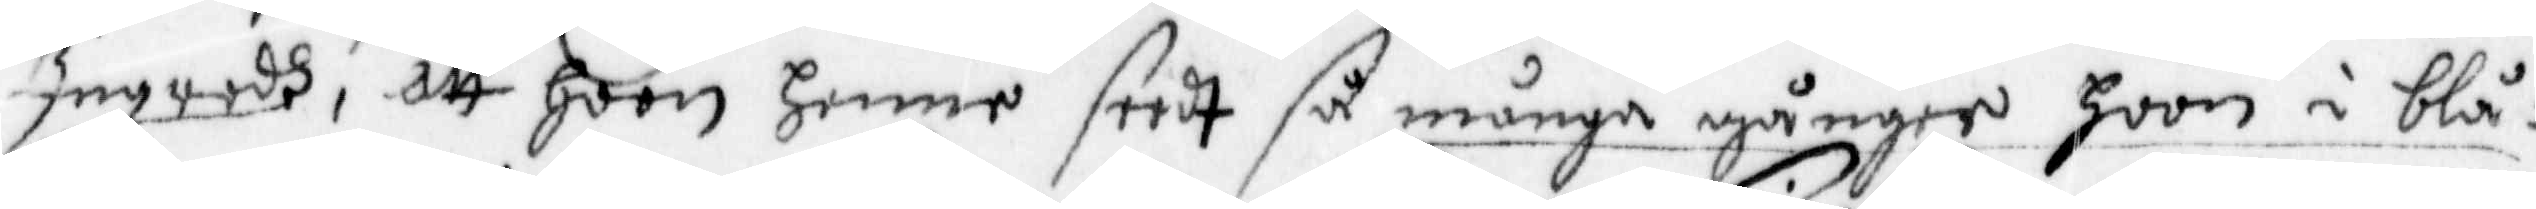Ingredh, att hoon Henne seedt så många gånger hoon i blå¬
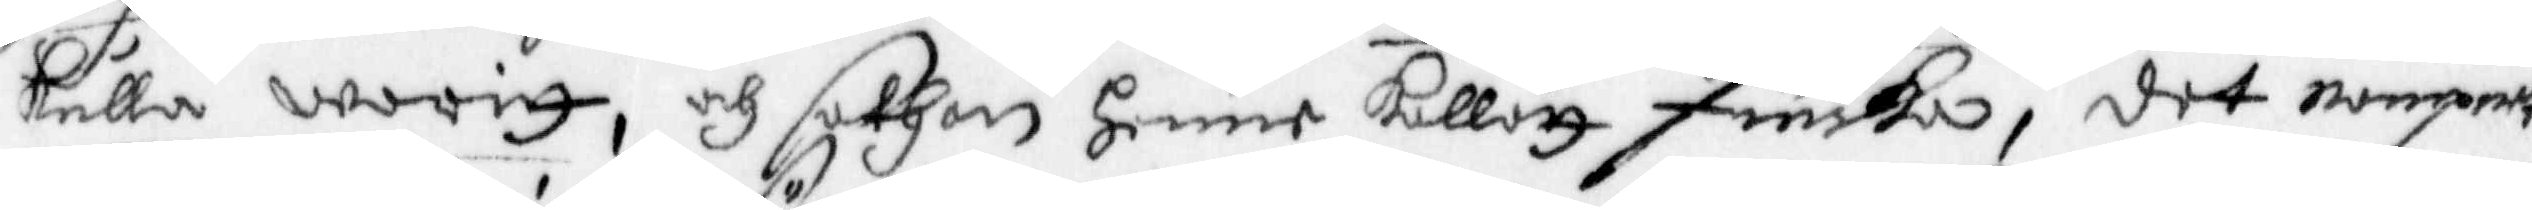kulla warit, och sathan henne kallatt Finska, det nampnet
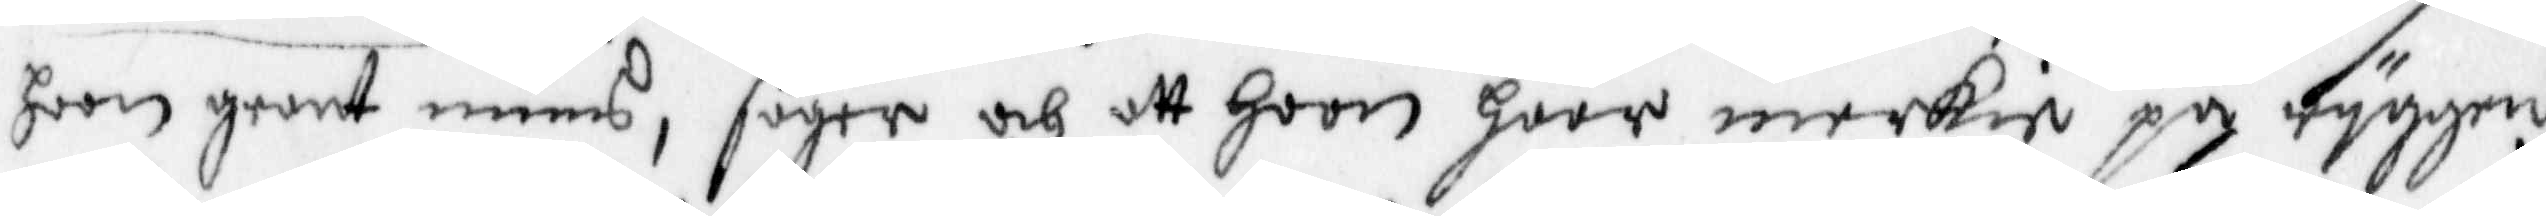hoon grant mins, säyer och att hoon haar merkie på ryggen
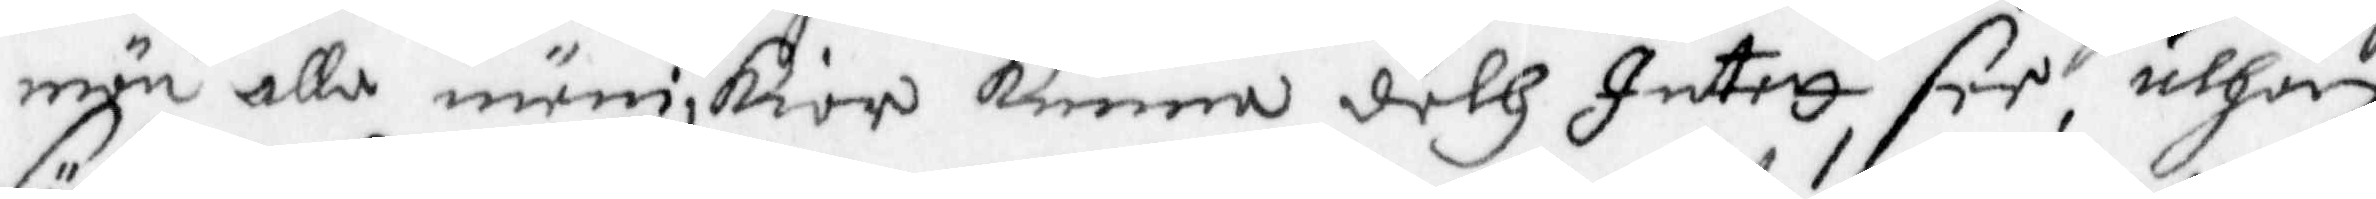män alla människior kunna deth Intett, see, uthan
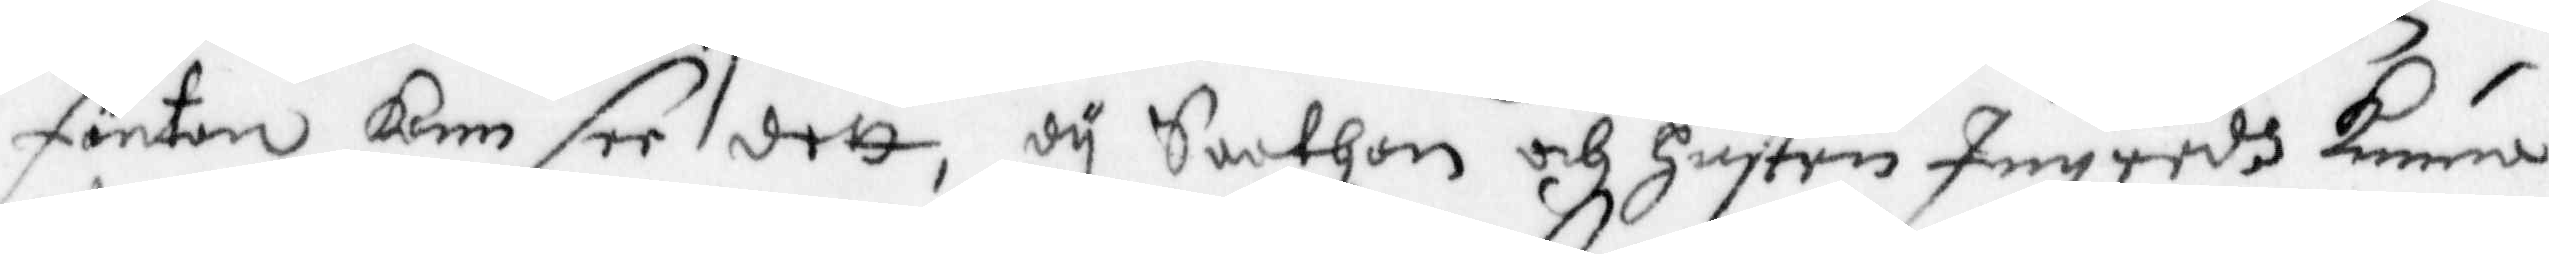Fänten kam see dett, dy Sathan och Hustru Ingredh Kunna
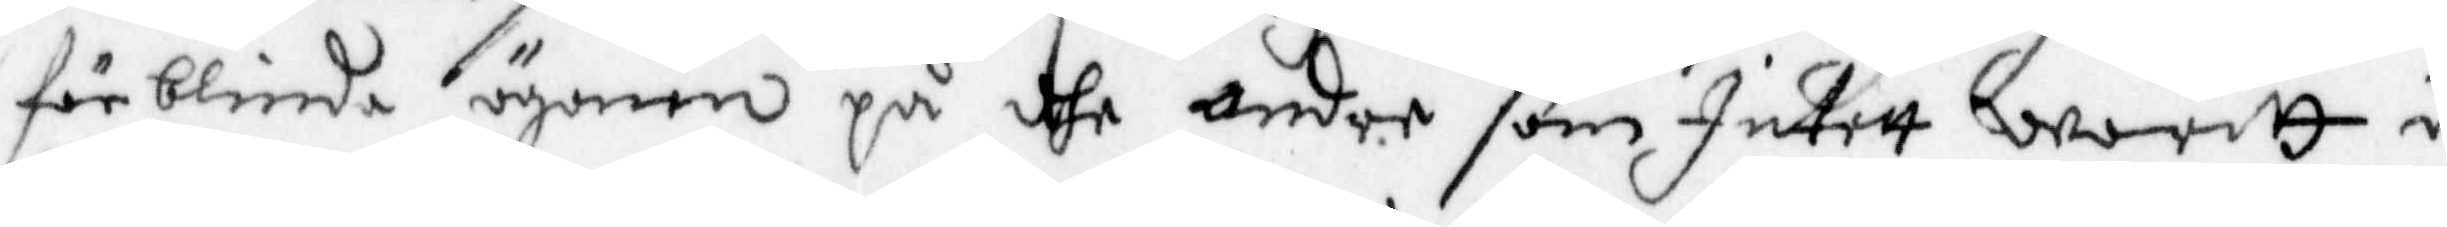förblinda ögonen på dhe andre som Intett waritt i
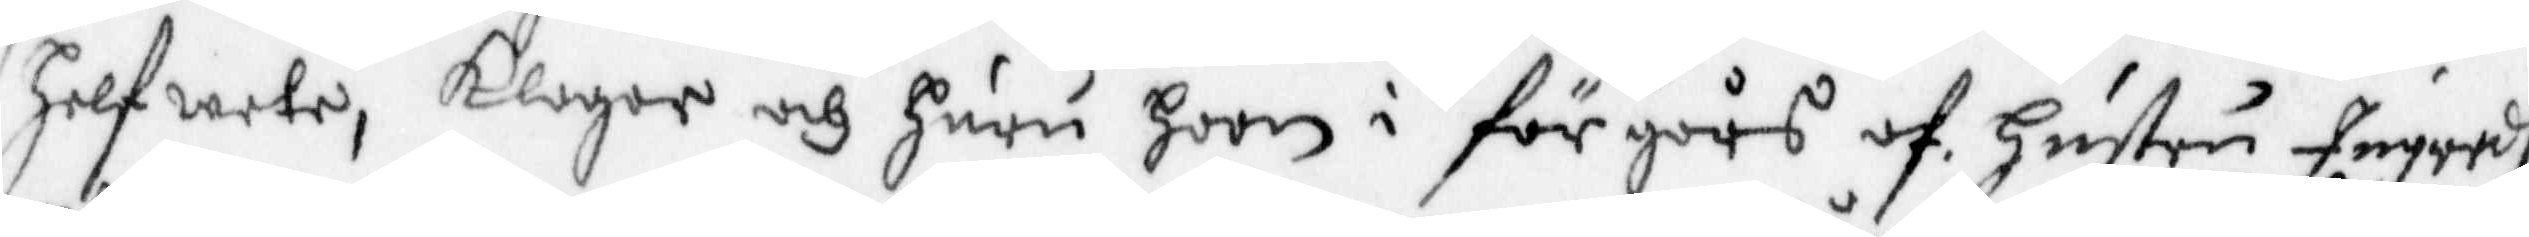Helfwete, Klagar och huru hoon i förgårs af Hustru Ingredh
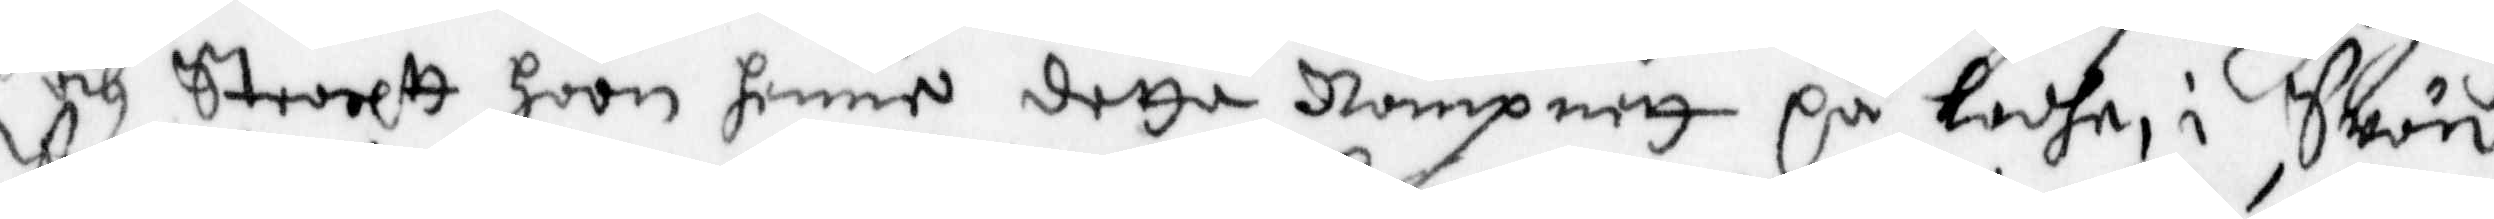och Stoortt hoon henne detta Nampnett på Ladhe i Swän,
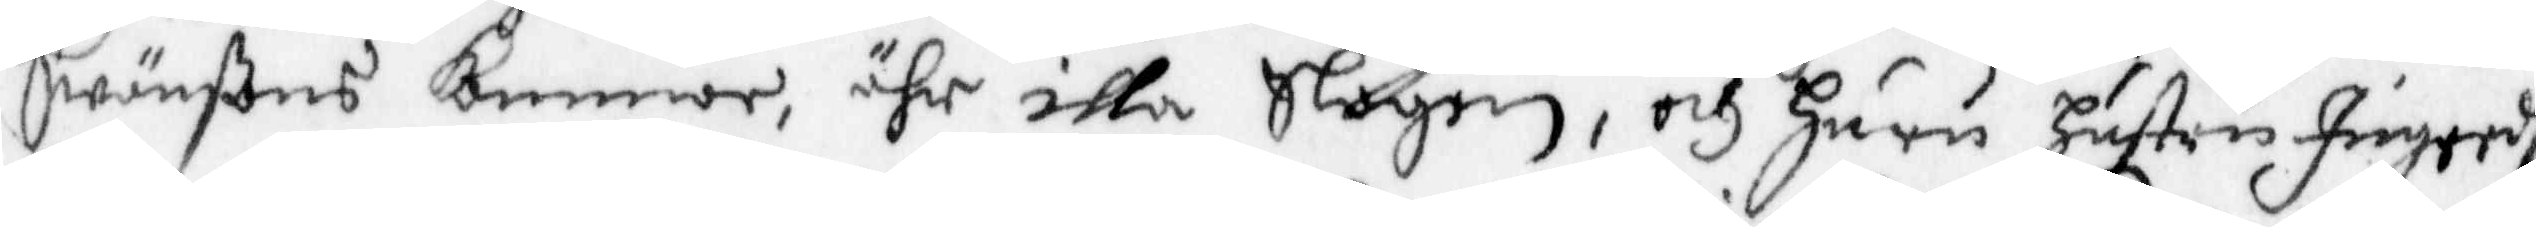Swänßens kammor, ähr illa slagen, och Huru Hustru Ingredh
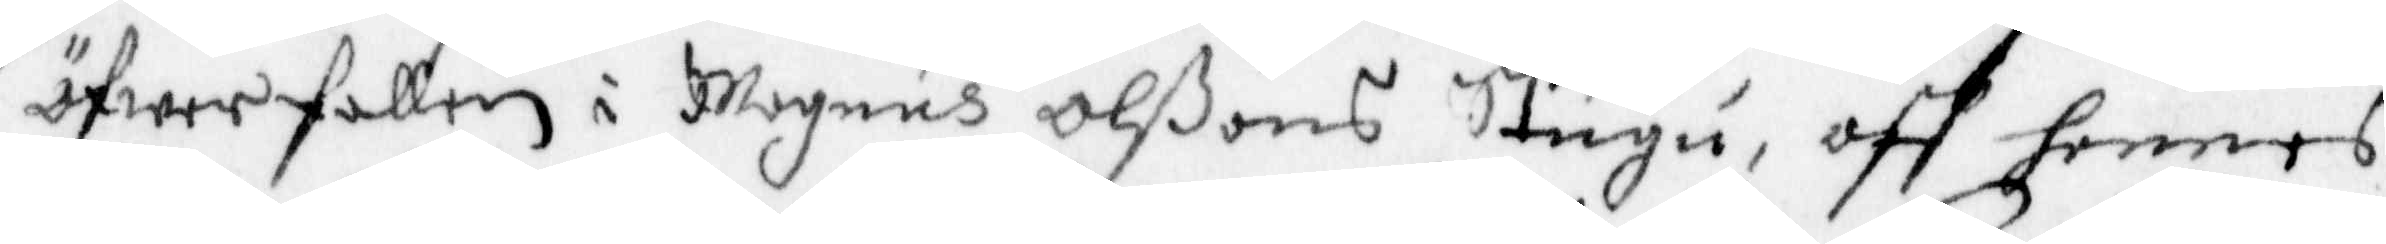öfwerfallen i Magnus Ollßons Stugu, aff hennes
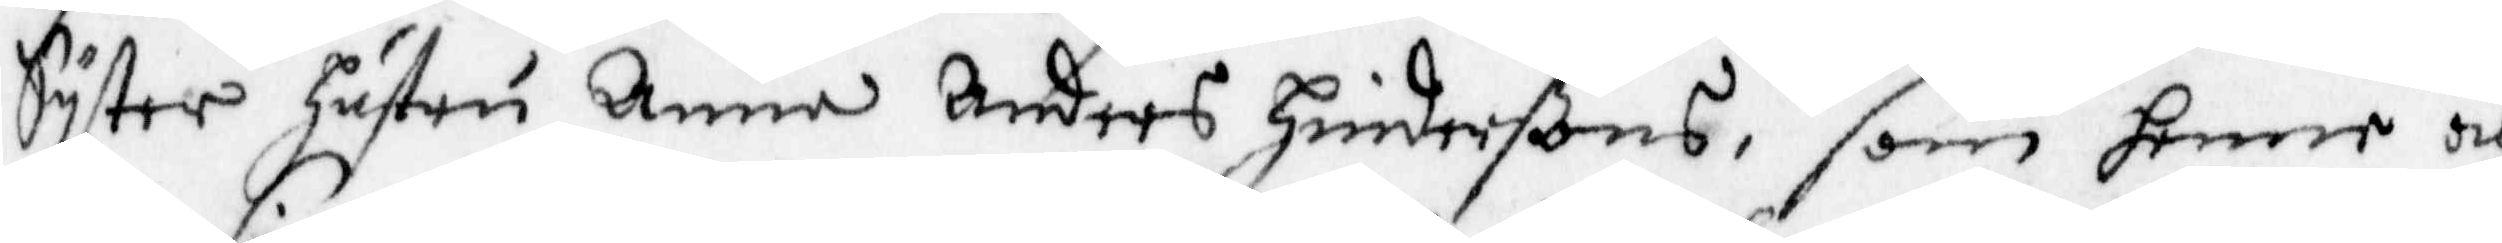Syster hustru Anna Anders Hinderßons, som henne och
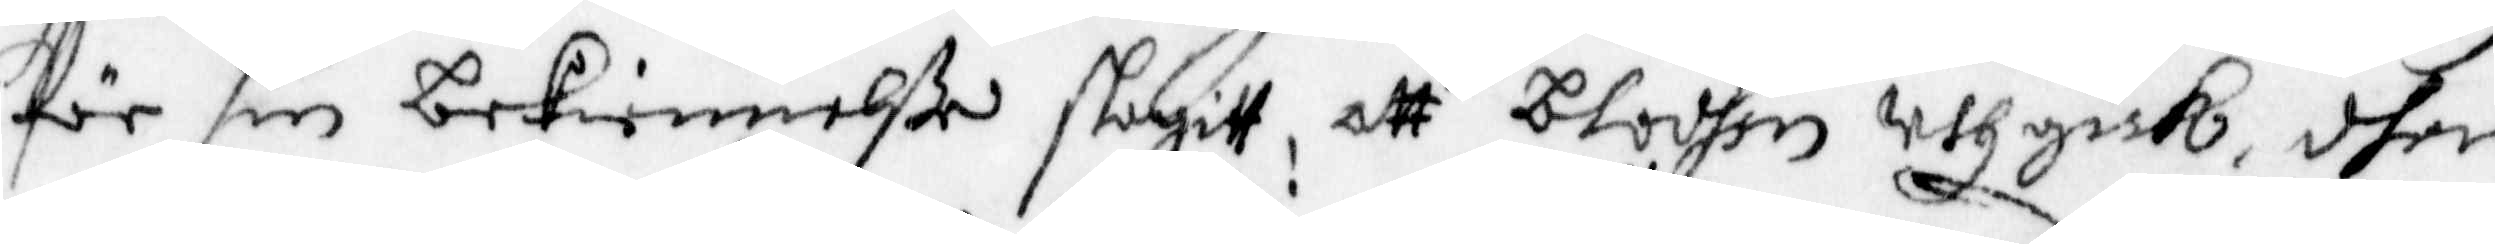För sin bekiennelße slagitt, att blodhen uthgick, dher
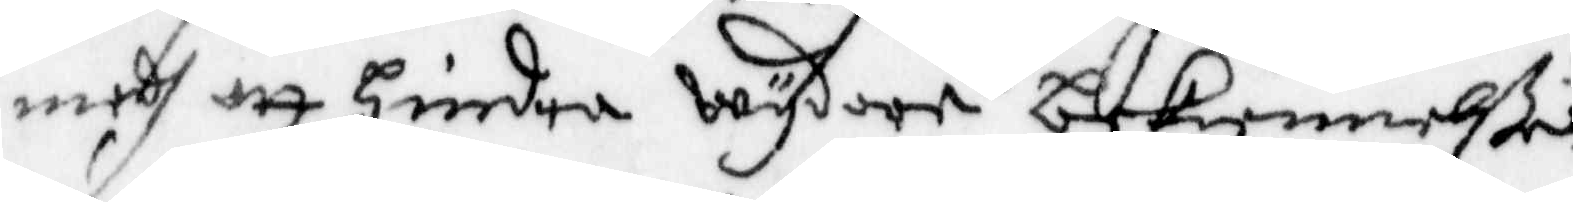medh att hindra wydare bekiennelße  
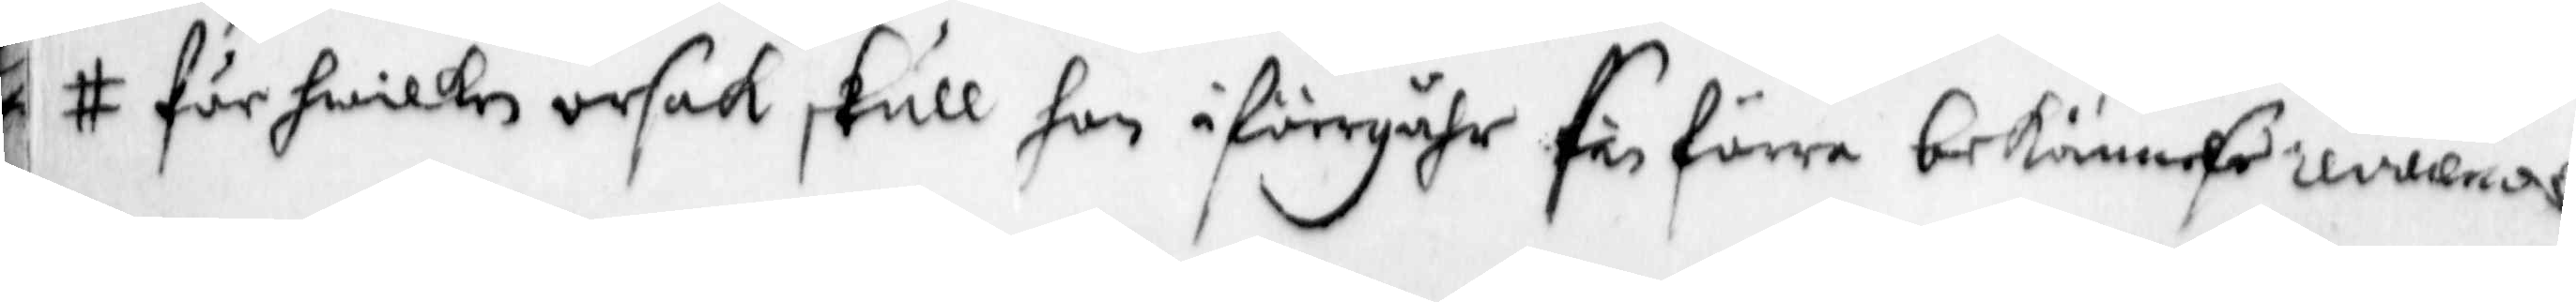för hwilken orsak skull hon i föregåhr sin förre bekännelße revocerade,
